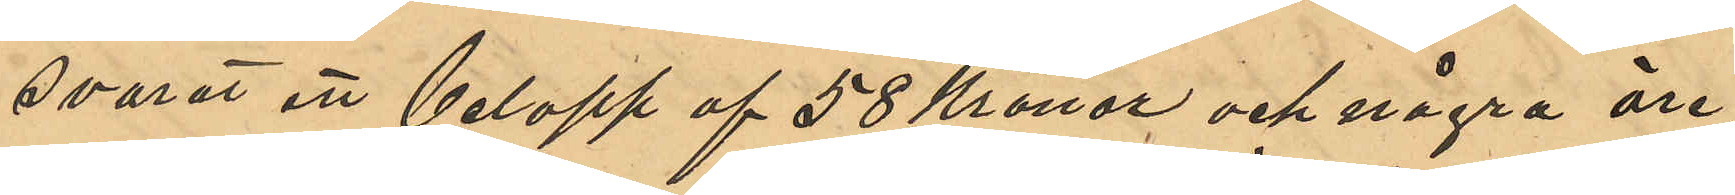svarat ett belopp af 58 Kronor och några öre;
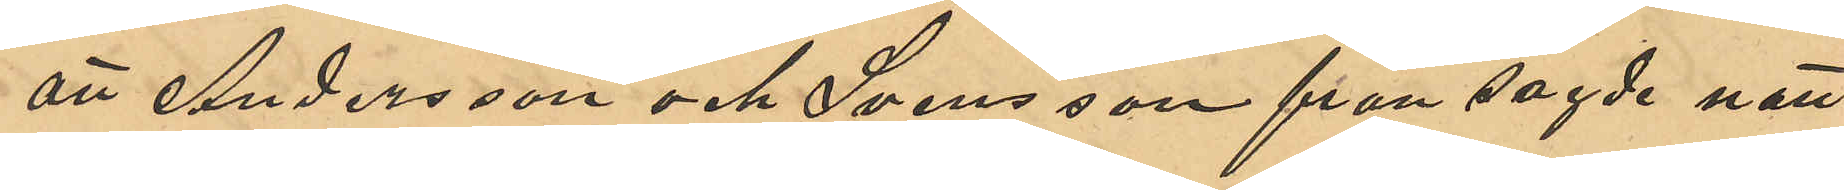att Andersson och Svensson från sagde natt
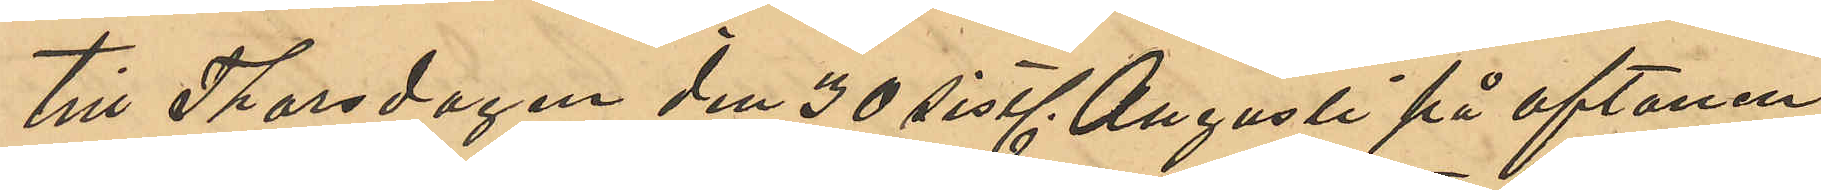till Thorsdagen den 30 sistl. Augusti på aftonen
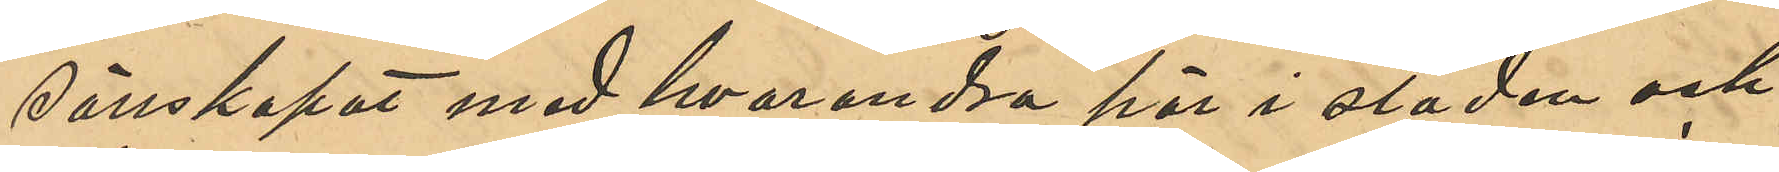sällskapat med hvarandra här i staden och
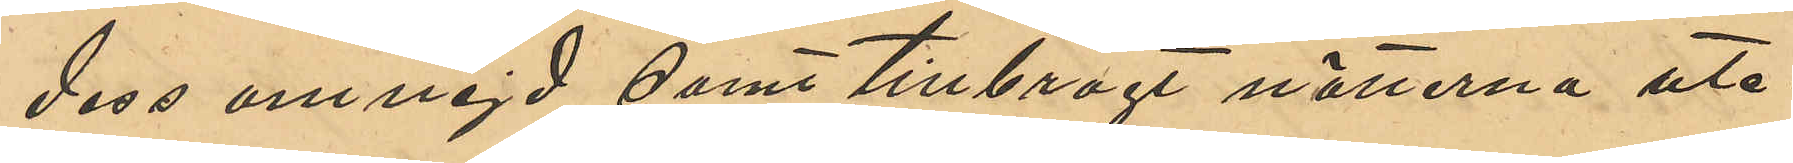dess omnejd, samt tillbragt nätterna ute¬
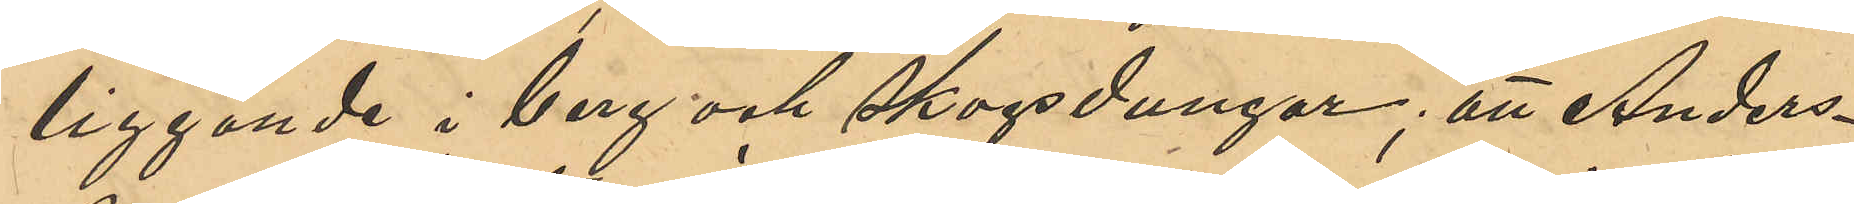liggande i bergs och skogsdungar; att Anders¬
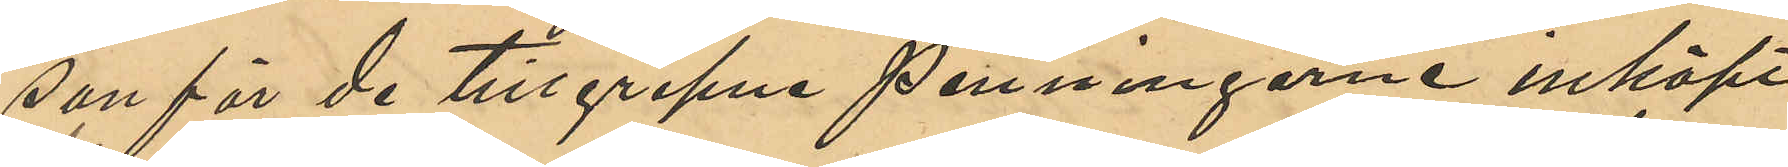son för de tillgripne penningarne inköpt
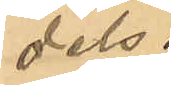dels
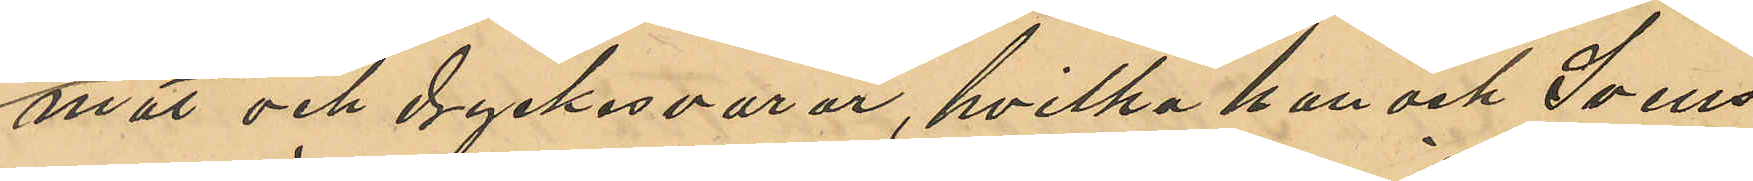mat och dryckesvaror, hvilka han och Svens¬
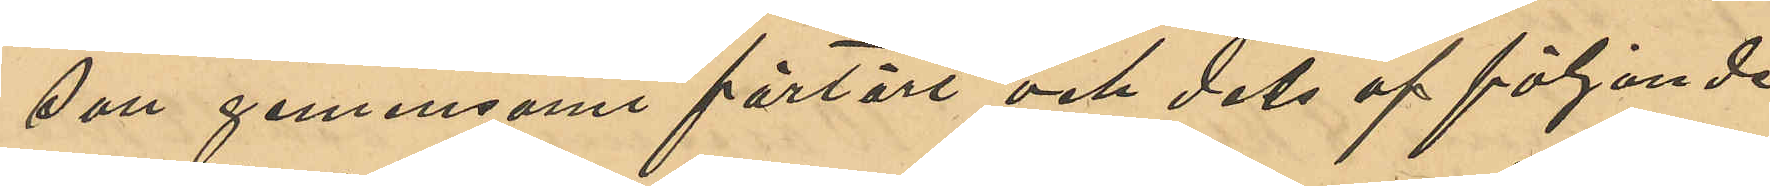son gemensamt förtärt och dels af följande
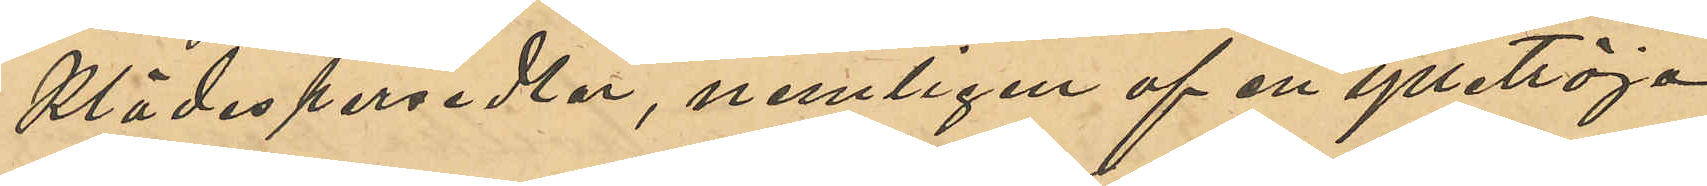klädespersedlar, nemligen af en ylletröja
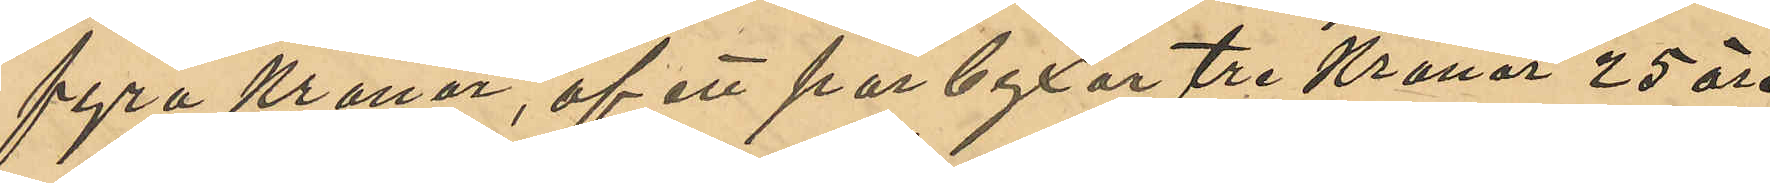fyra Kronor, af ett par byxor tre Kronor 25 öre,
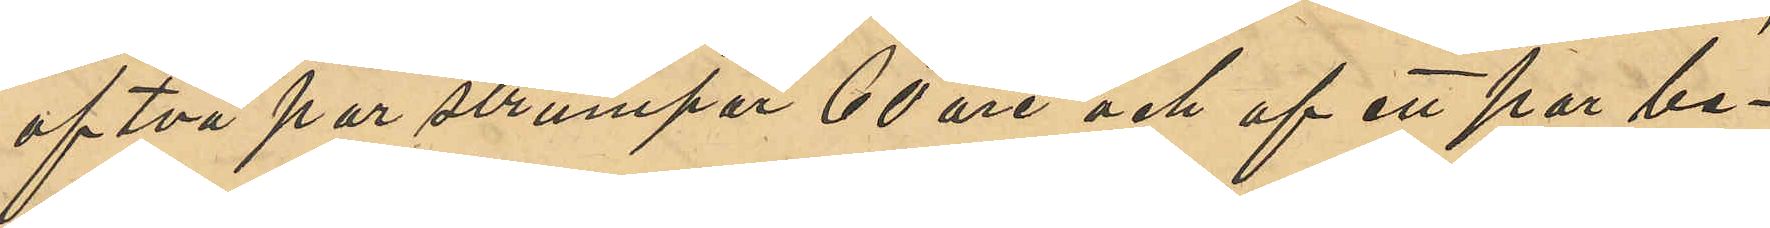af två par sturmpor 60 öre och af ett par be¬
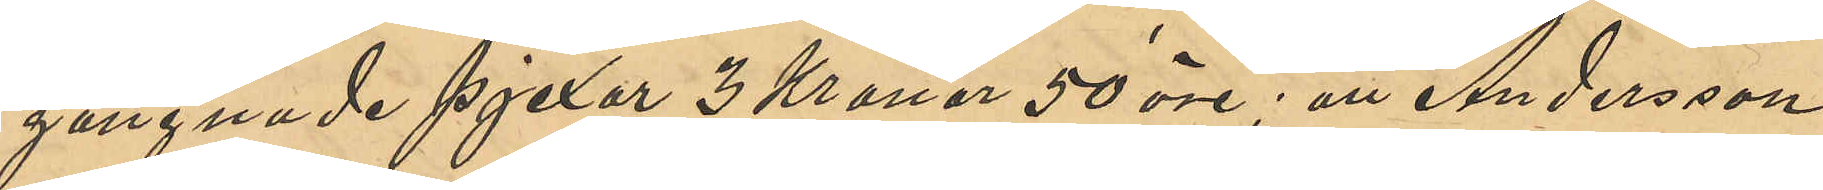gagnade pjexor 3 Kronor 50 öre; att Andersson
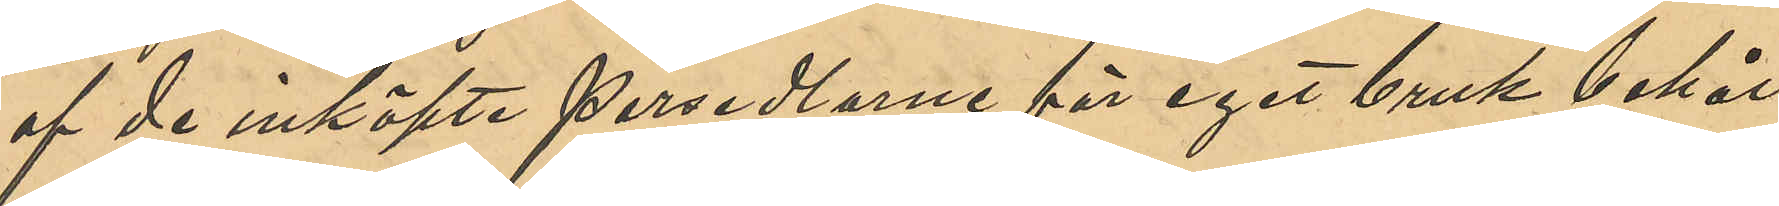af de inköpte persedlarne för eget bruk behål¬
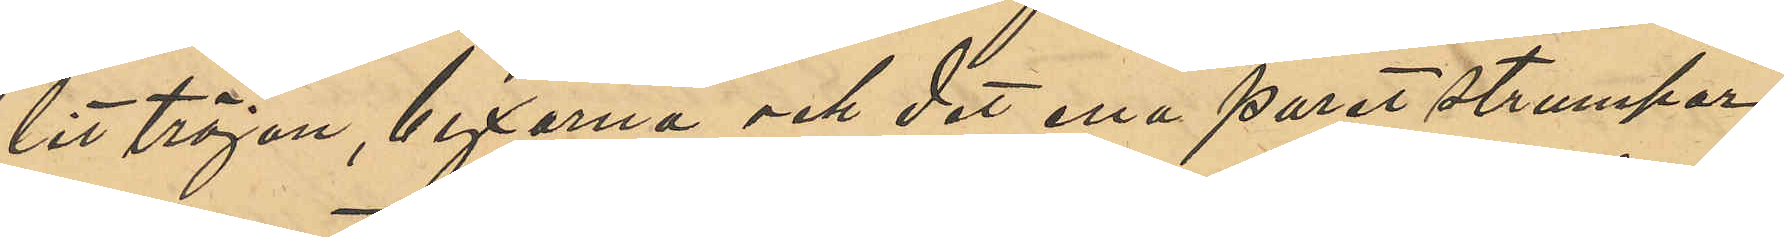lit tröjan, byxorna och det ena paret strumpor,
